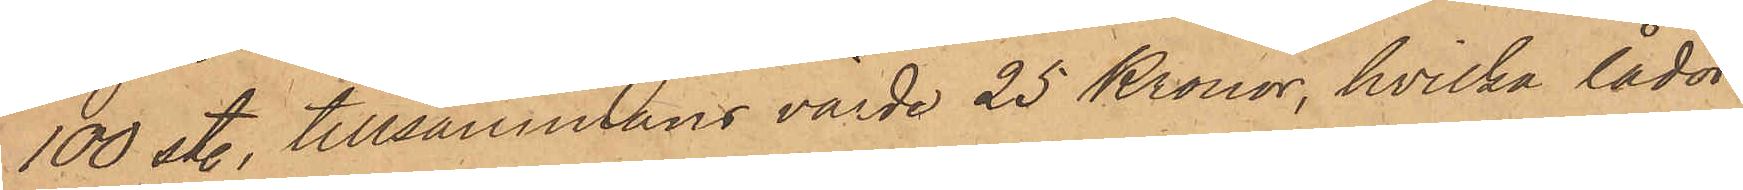100 st., tillsammans värda 25 Kronor, hvilka lådor
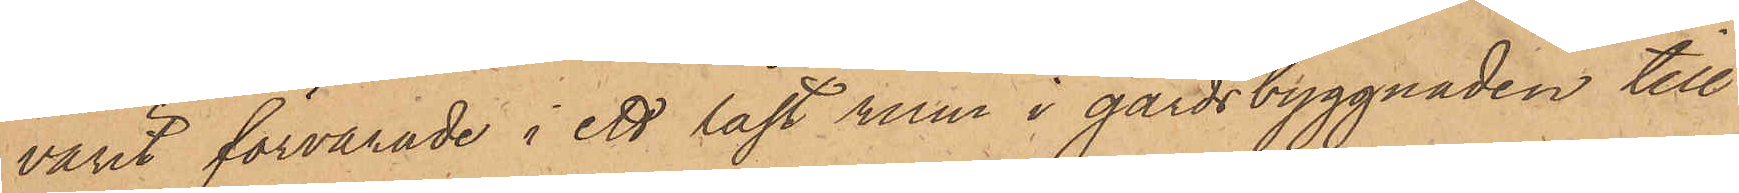varit förvarade i ett låst rum i gårdsbyggnaden till
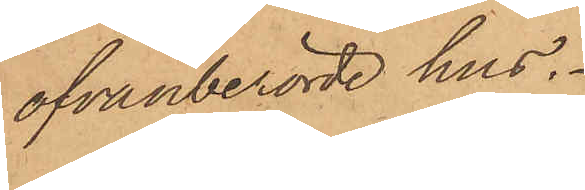ofvanberörde hus.
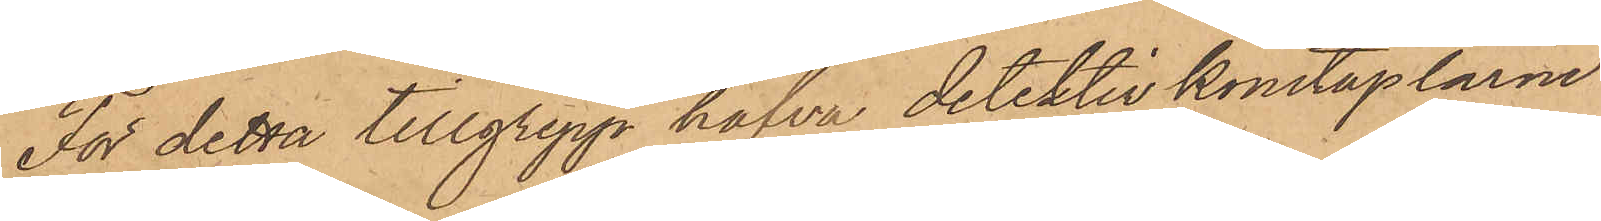För detta tillgrepp hafva detektivkonstaplarne
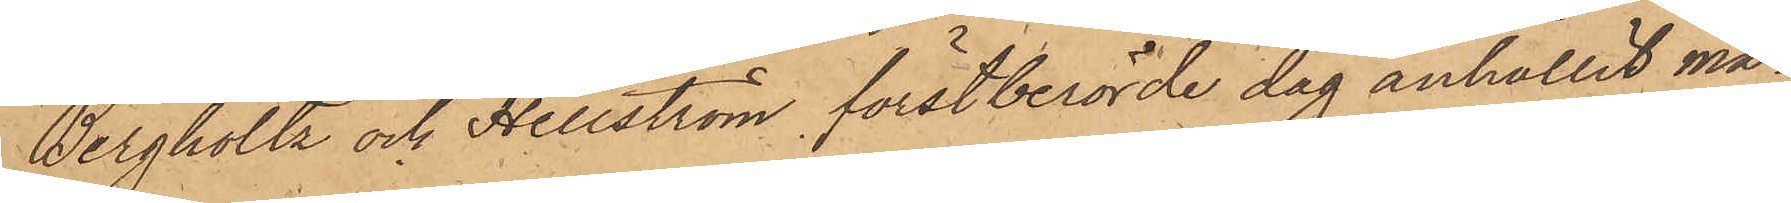Bergholtz och Hellström förstberörde dag anhållit må¬
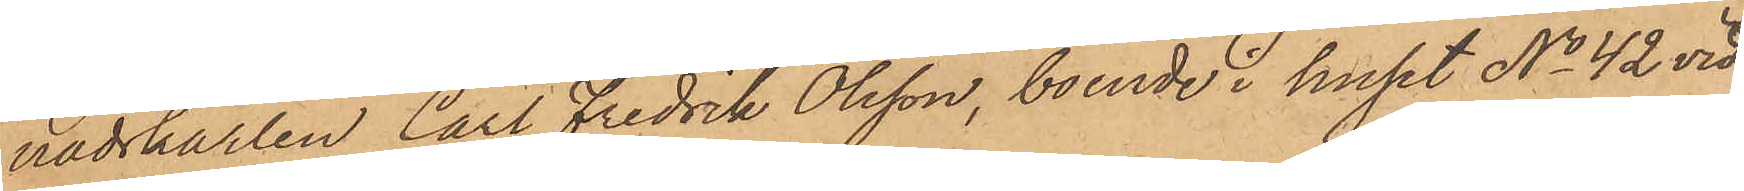nadskarlen Carl Fredrik Olsson, boende i huset No 42 vid
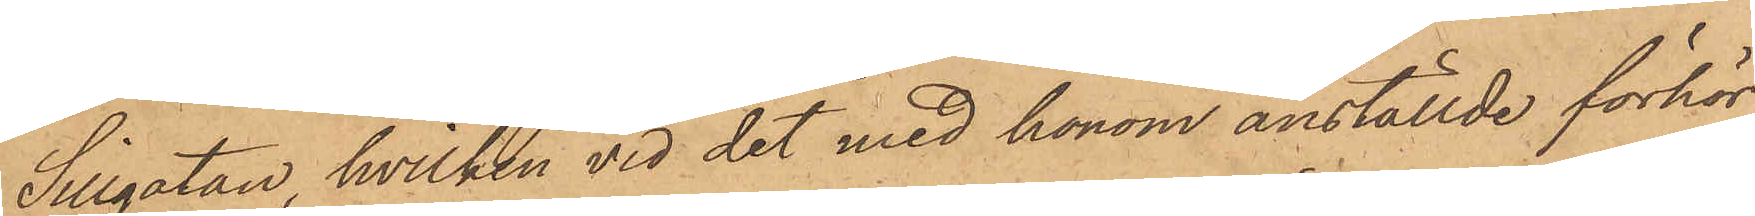Sillgatan, hvilken vid det med honom anställde förhör
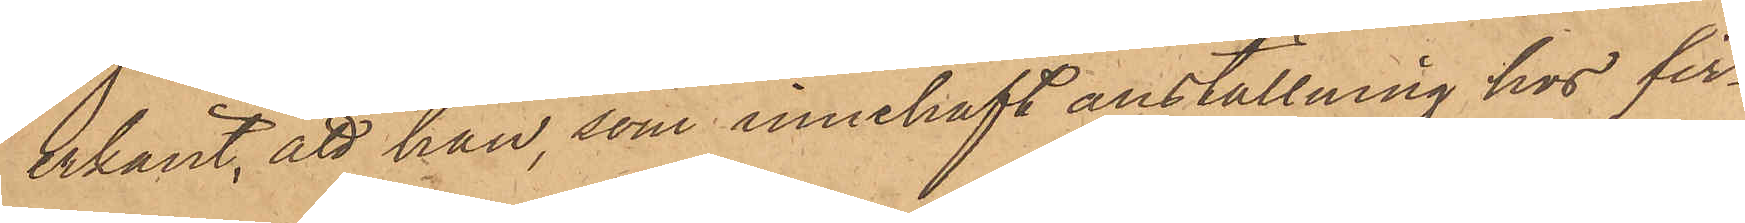erkänt, att han, som innehaft anställning hos fir¬
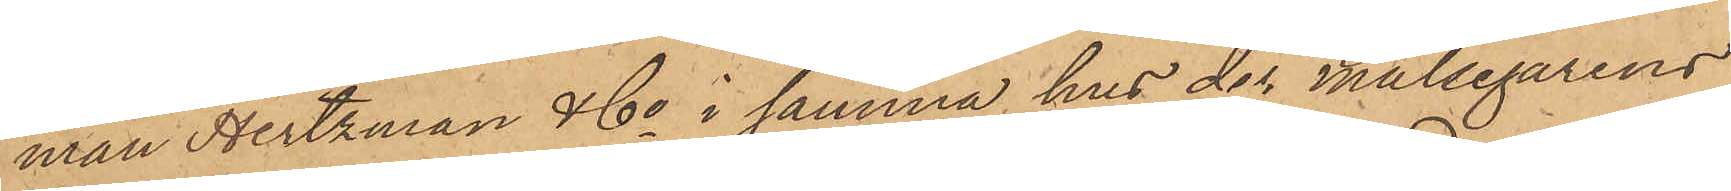man Hertzman & Co i samma hus der målsegarens
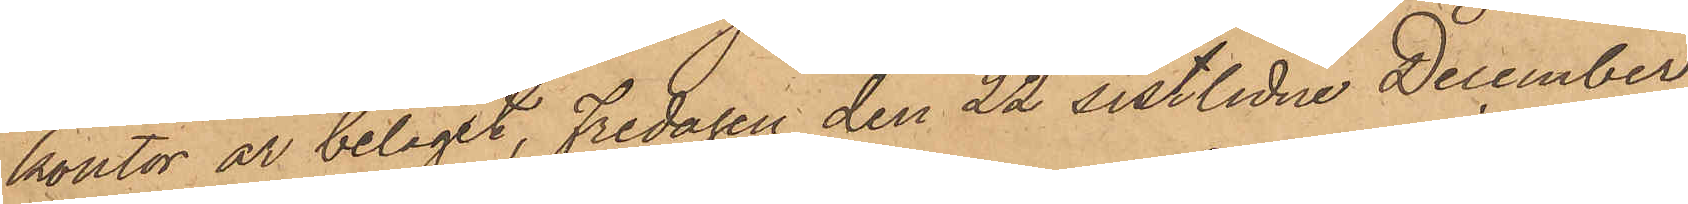kontor är beläget, Fredagen den 22 sistlidne December
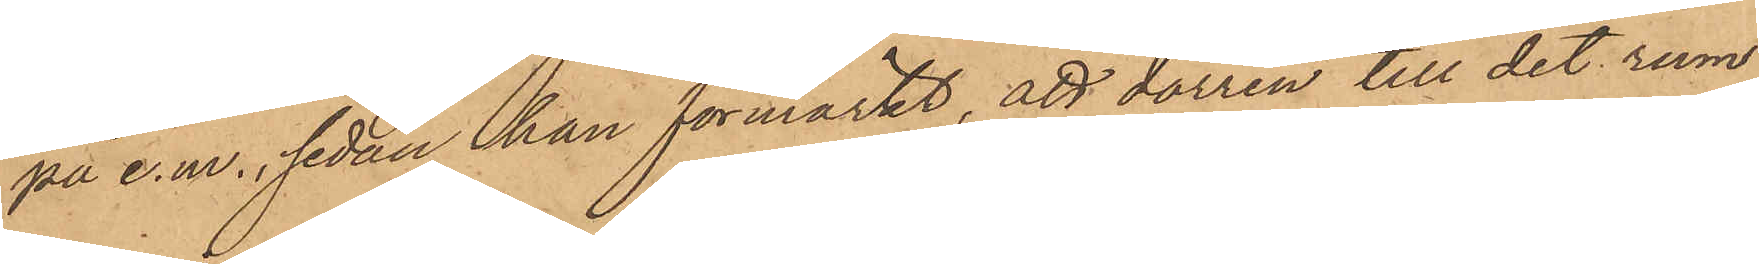på e. m., sedan han förmärkt, att dörren till det rum
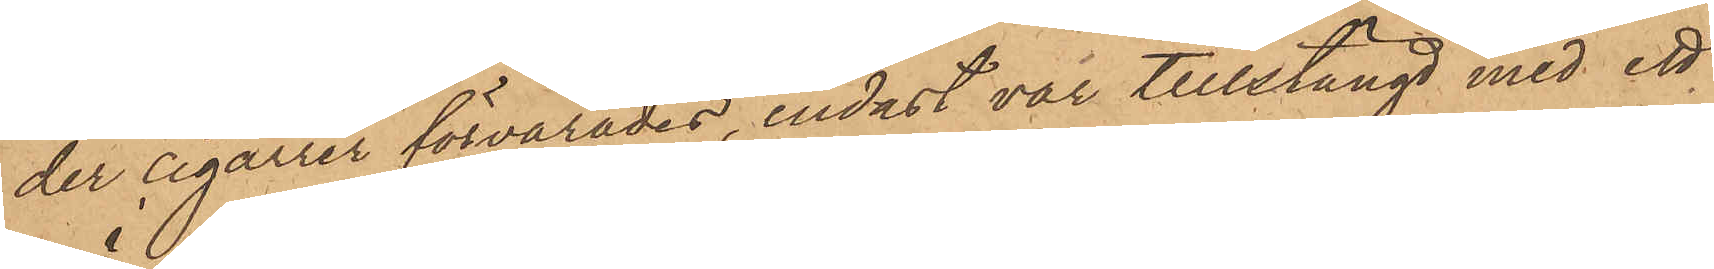der cigarrer förvarades, endast var tillstängd med ett
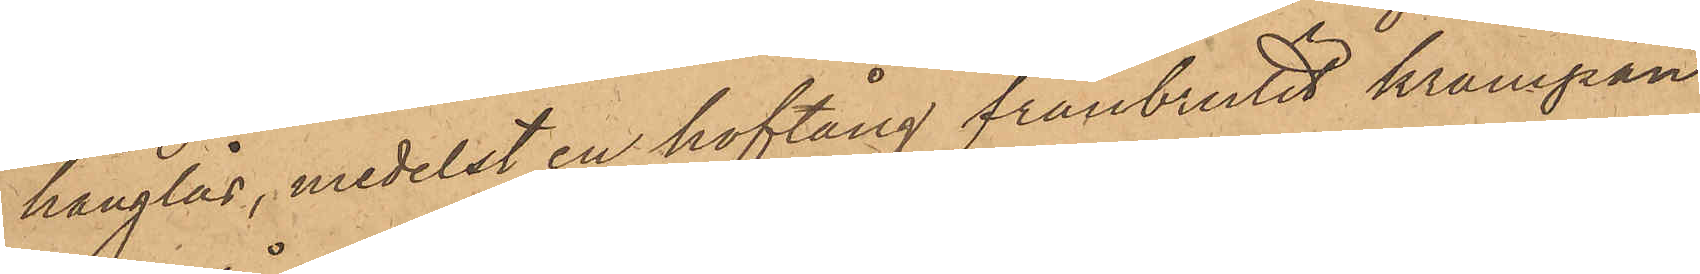hänglås, medelst en hoftång frånbrutit krampan
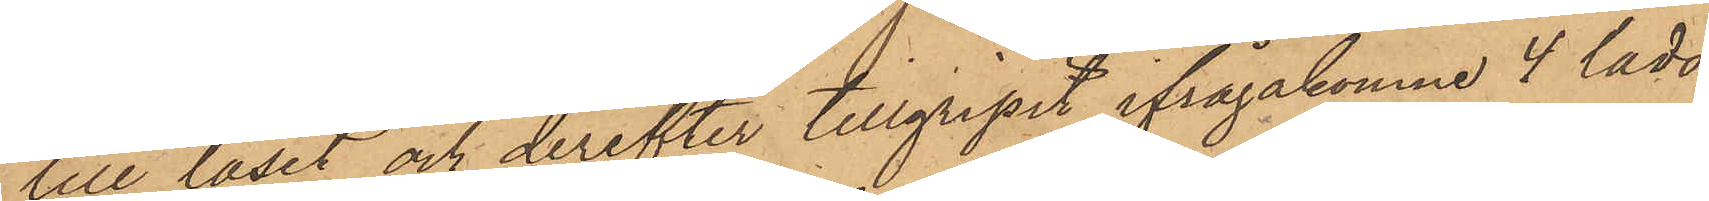till låset och derefter tillgripit ifrågakomne 4 lådor
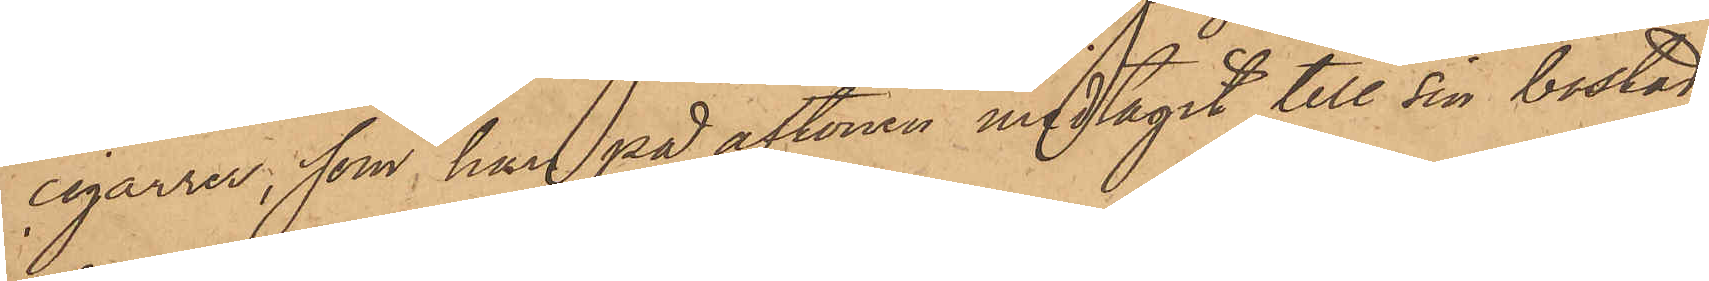cigarrer, som han på aftonen medtagit till sin bostad,
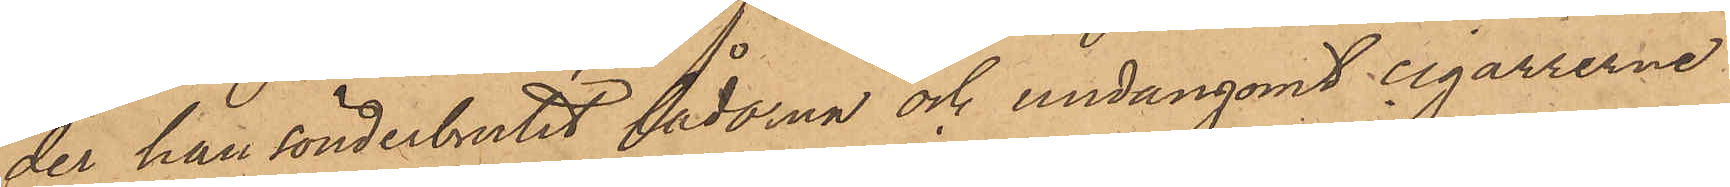der han sönderbrutit lådorna och undangömt cigarrerne
